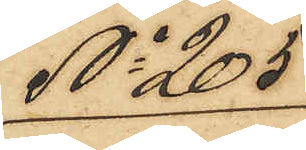No 205
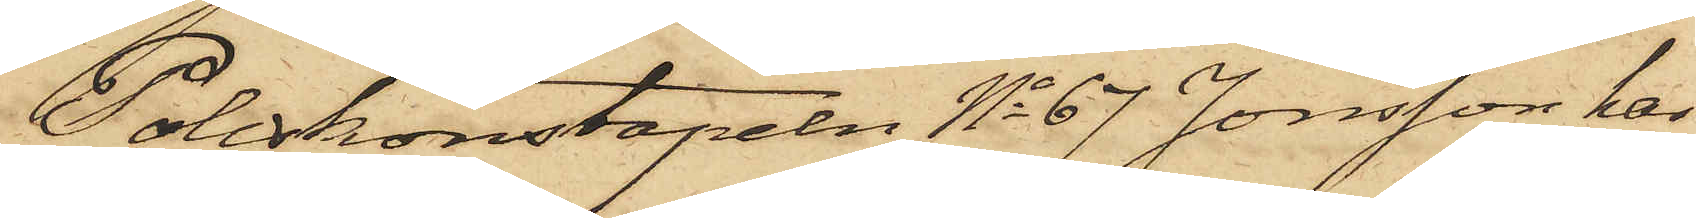Poliskonstapeln No 67 Jonsson hos
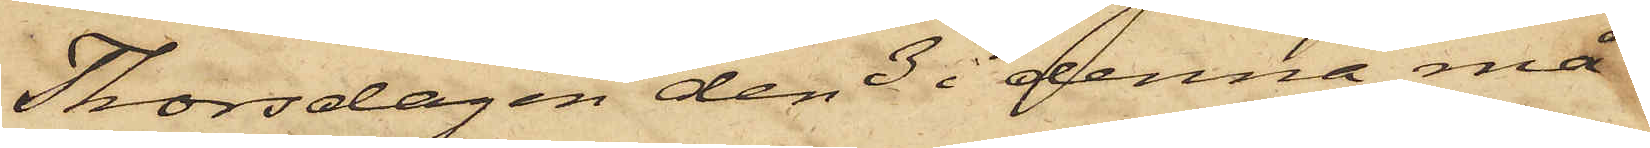Thorsdagen den 3 i denna må¬
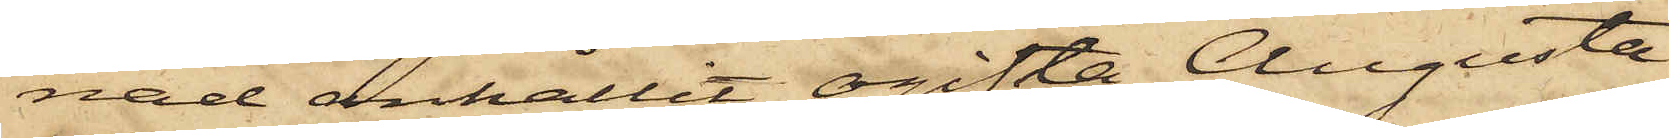nad anhållit ogifta Augusta
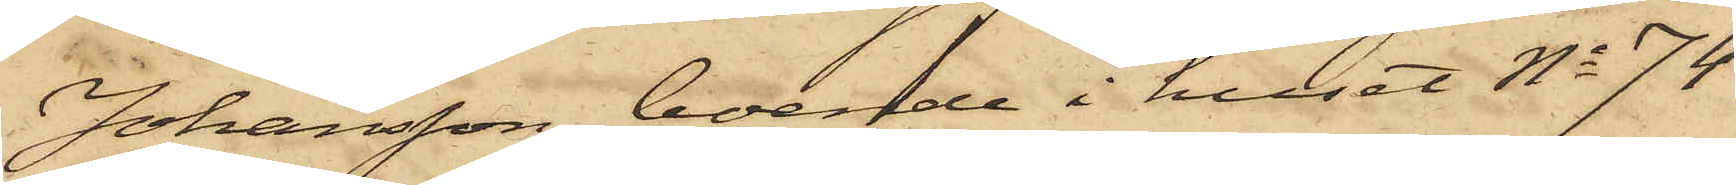Johansson, boende i huset No 74
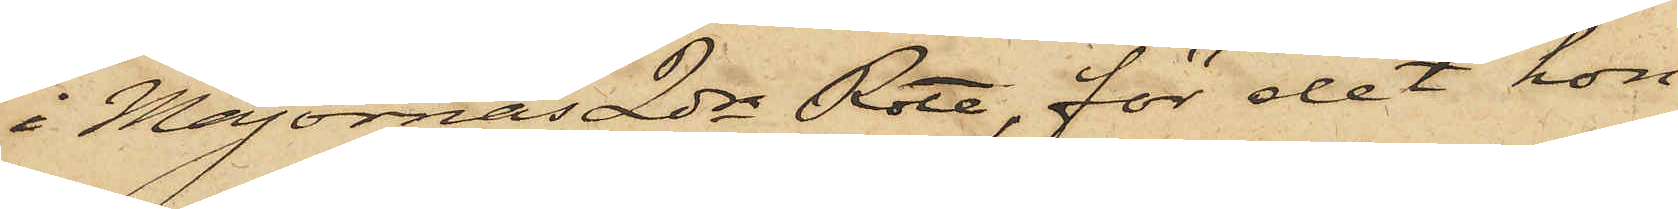i Majornas 2dra Rote, för det hon
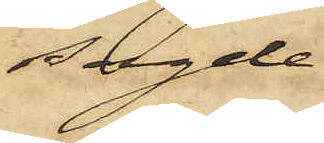sagde
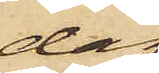dag
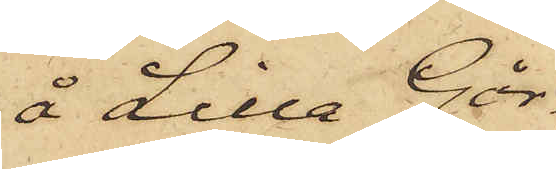å Lilla Går¬
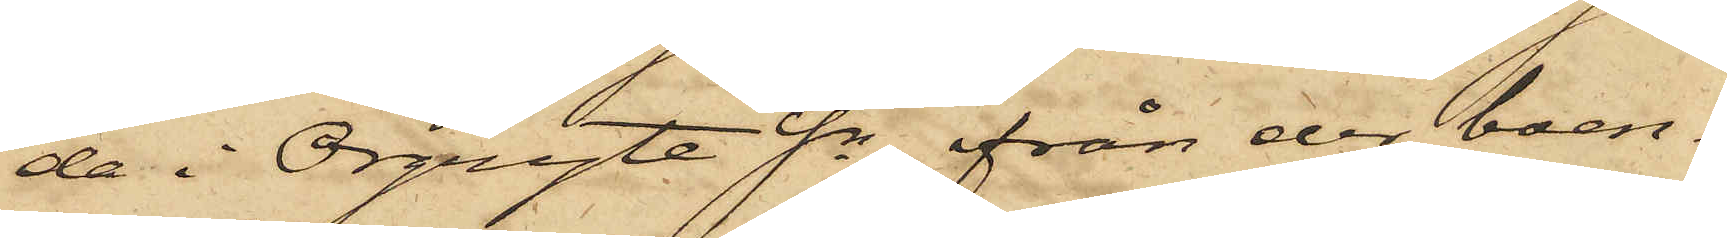da i Örgryte Sn från der boen¬
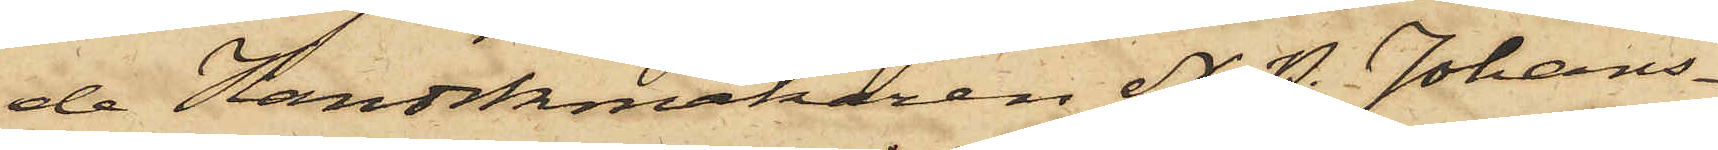de Handskmakaren A. P. Johans¬
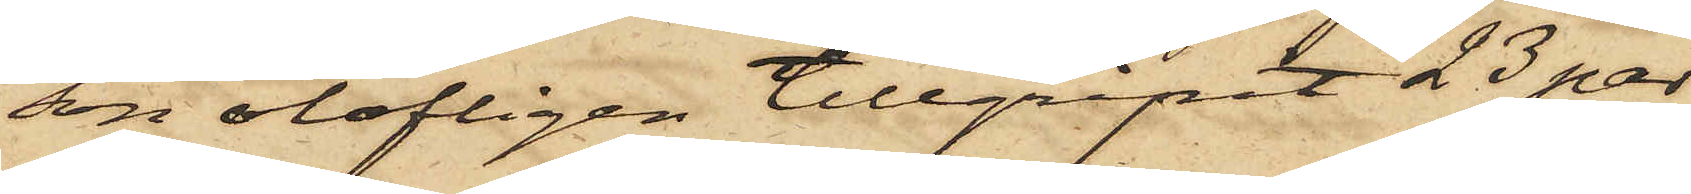son olofligen tillgripit 23 par
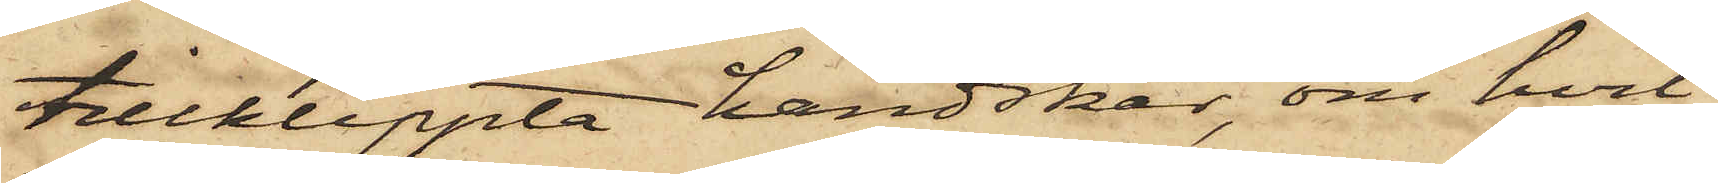tillklippta handskar, om hvil¬
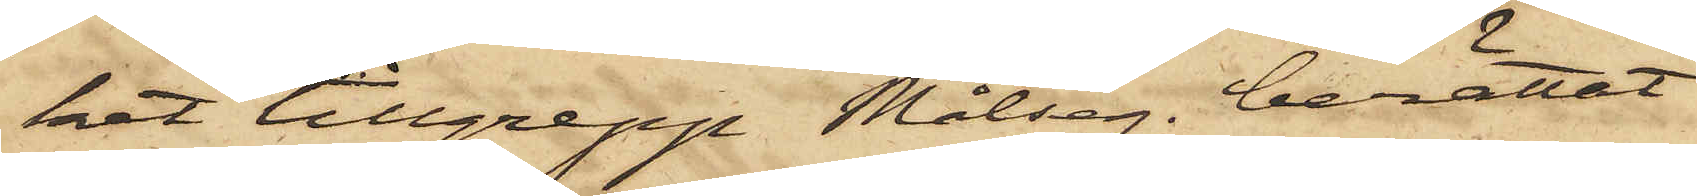het tillgrepp Målseg. berättat
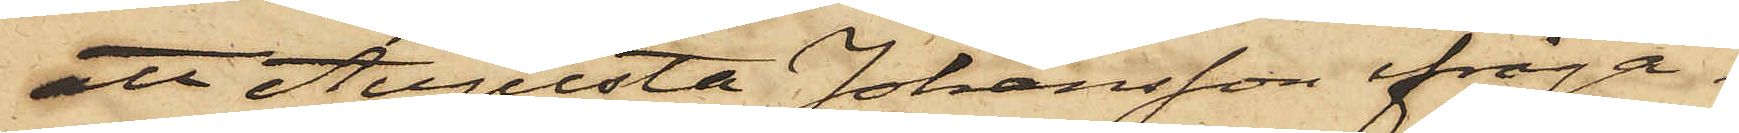att Augusta Johansson ifråga¬
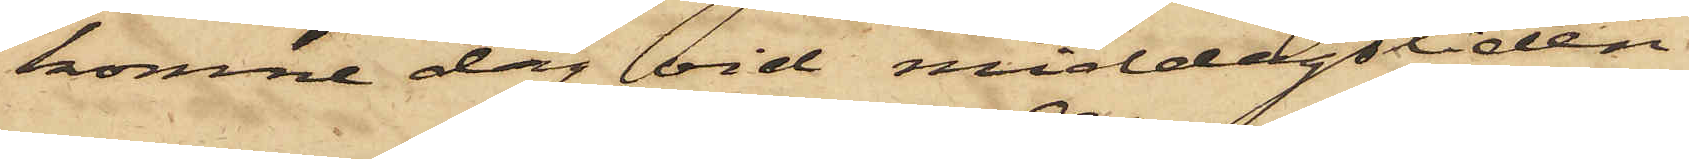komne dag vid middagstiden
